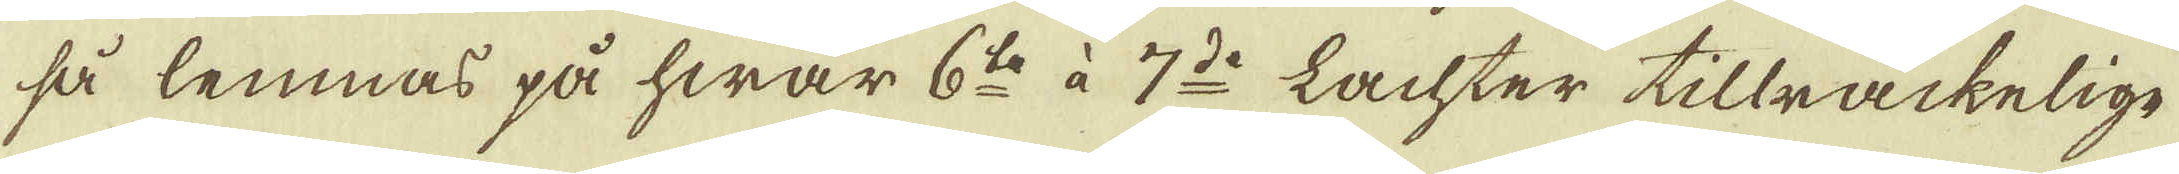så lemnas på hwar 6:te à 7:do Lachter tillräckelige
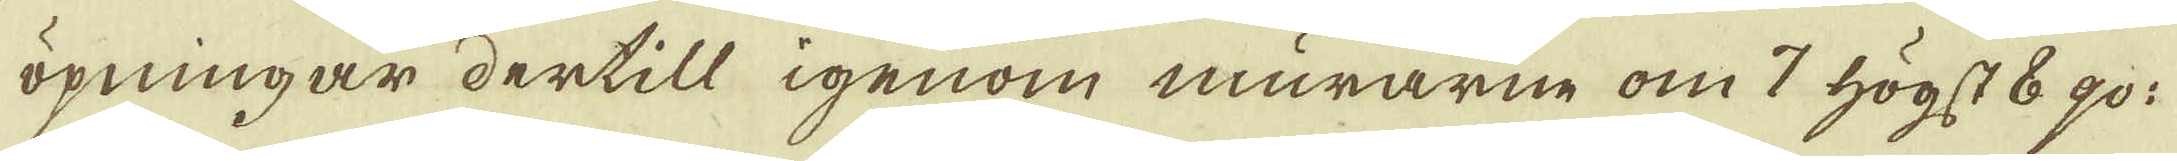öpningar dertill igenom murarne om 7 högst 8 qv:
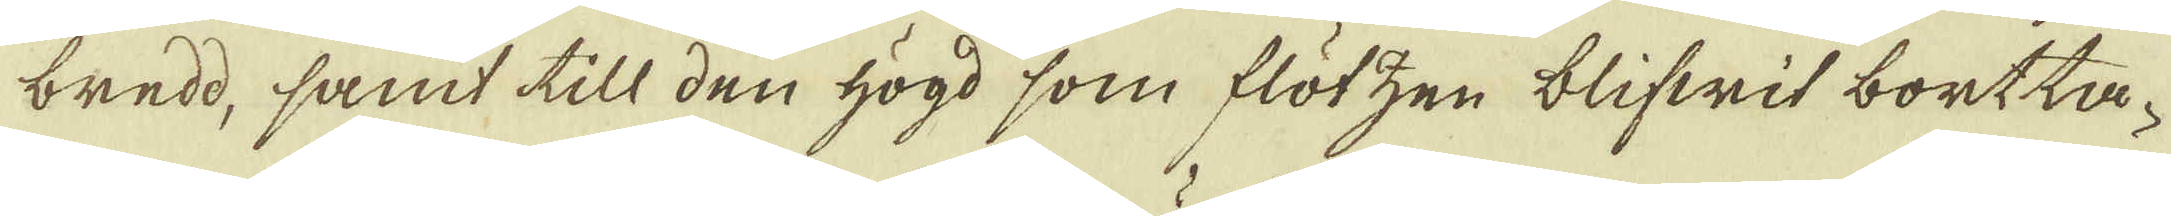bredd, samt till den högd som flötzen blifwit bortta-
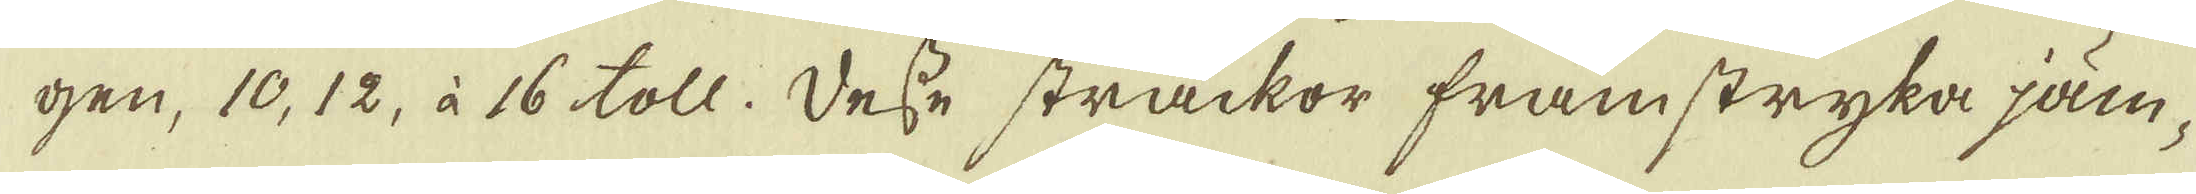gen, 10, 12, à 16 toll. Desse sträckor framstryka jäm-
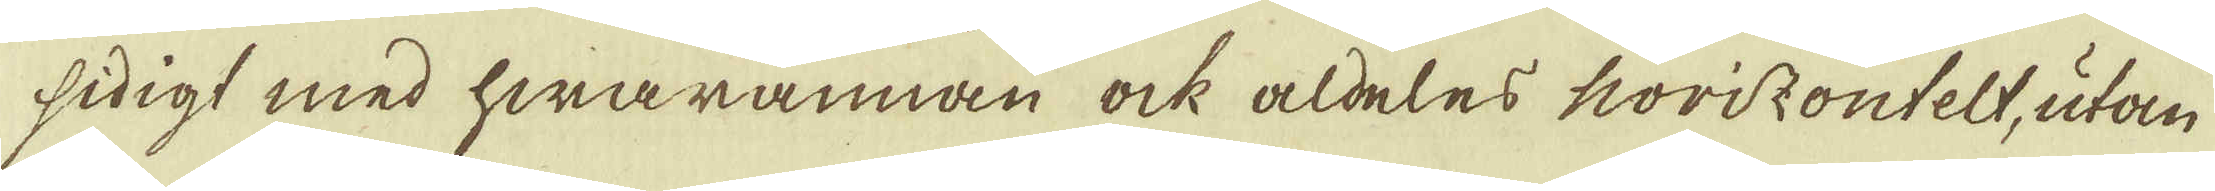sidigt med hwarannan ock aldeles horizontelt, utan
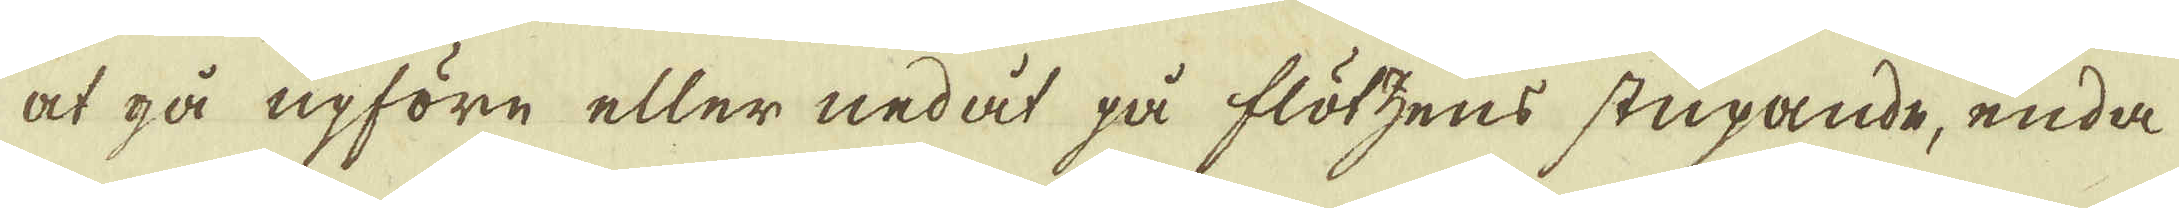at gå upföre eller nedåt på flötzens stupande, enda
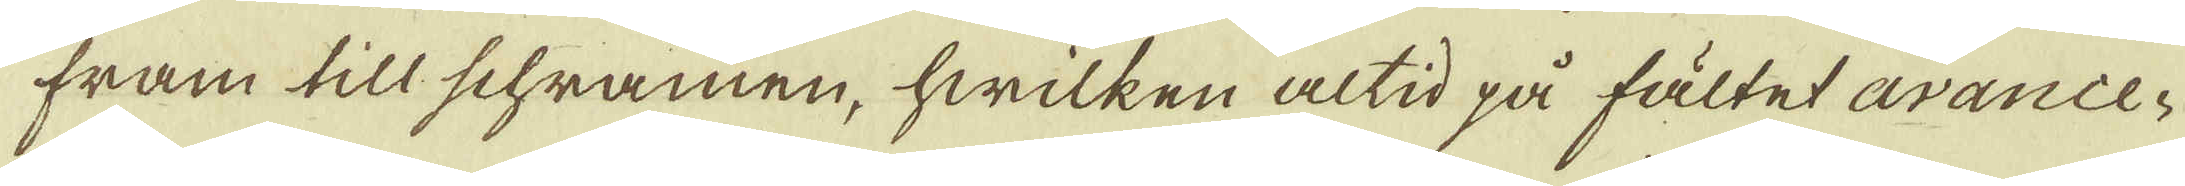fram till schramen, hwilken altid på fältet avance-
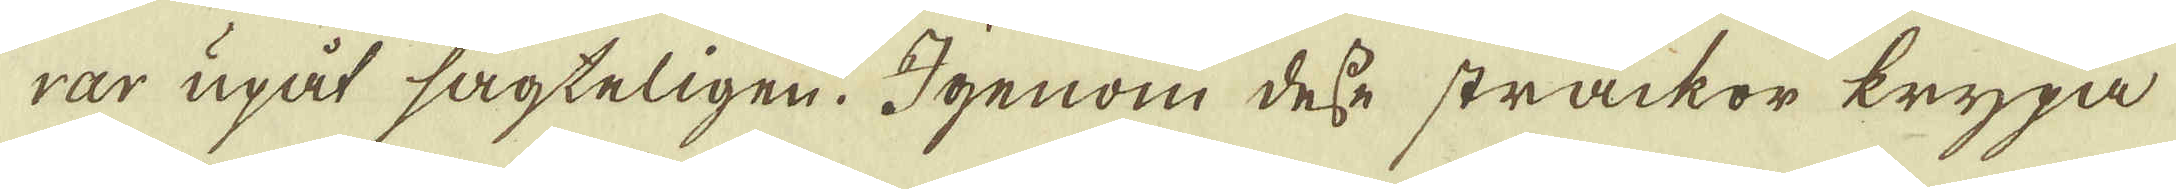rar upåt sagteligen. Igenom desse sträckor krypa
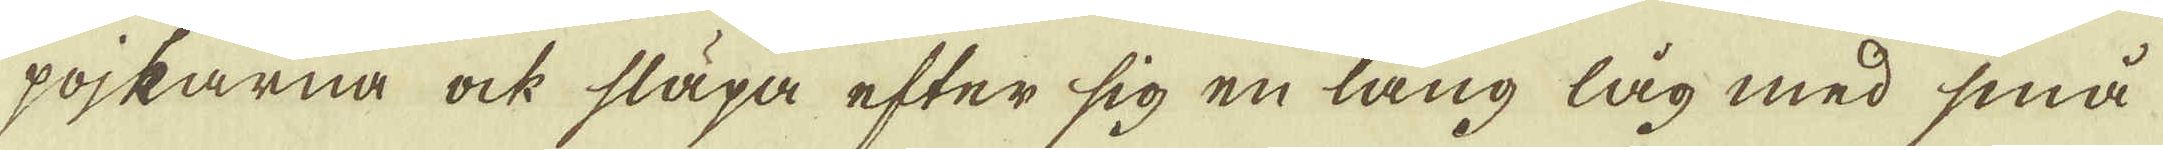pojkarna ock släpa efter sig en lång låg med små
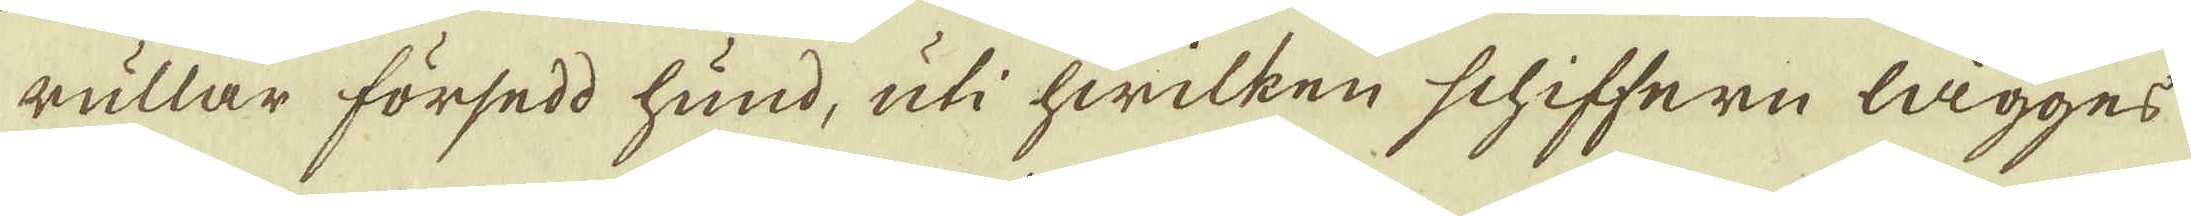rullar försedd hund, uti hwilken schiffern lägges
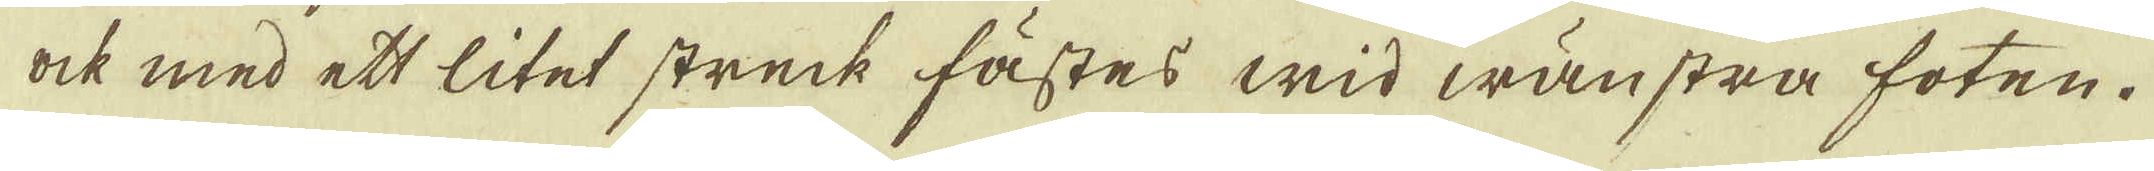ock med ett litet streck fästes wid wänstra foten.
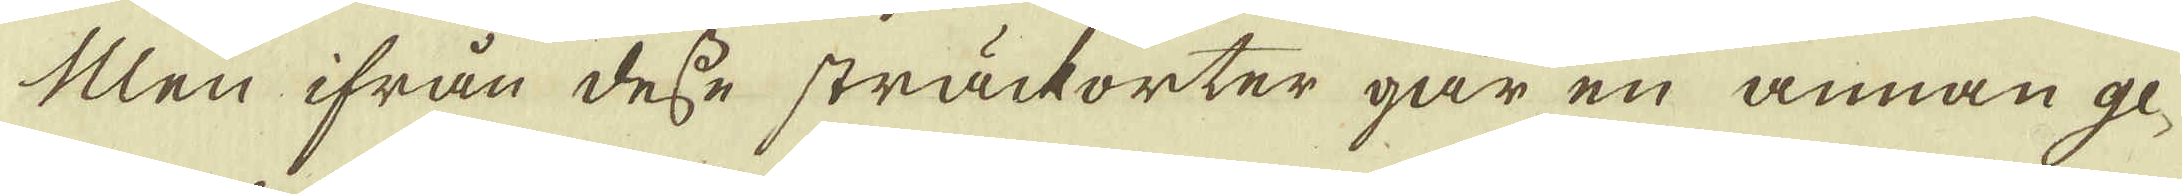Men ifrån desse sträckorter går en annan ge-
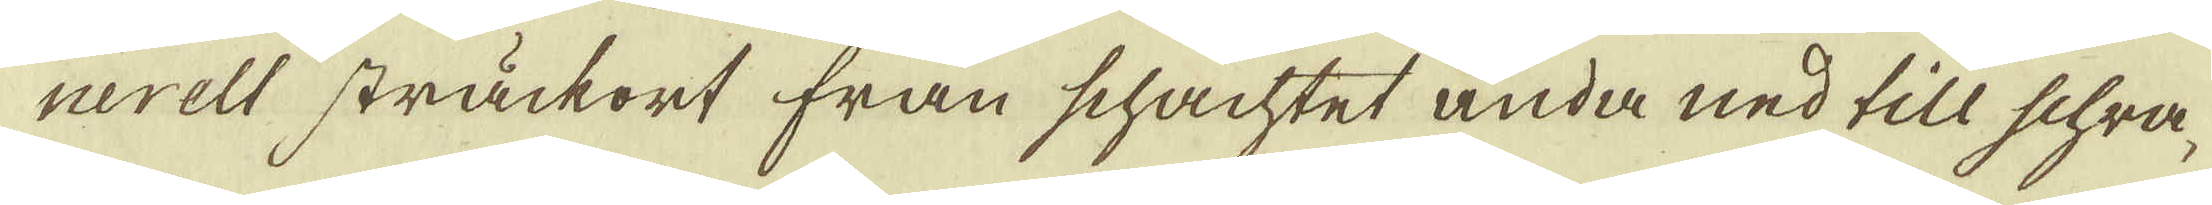nerell sträckort från schachtet ända ned till schra-
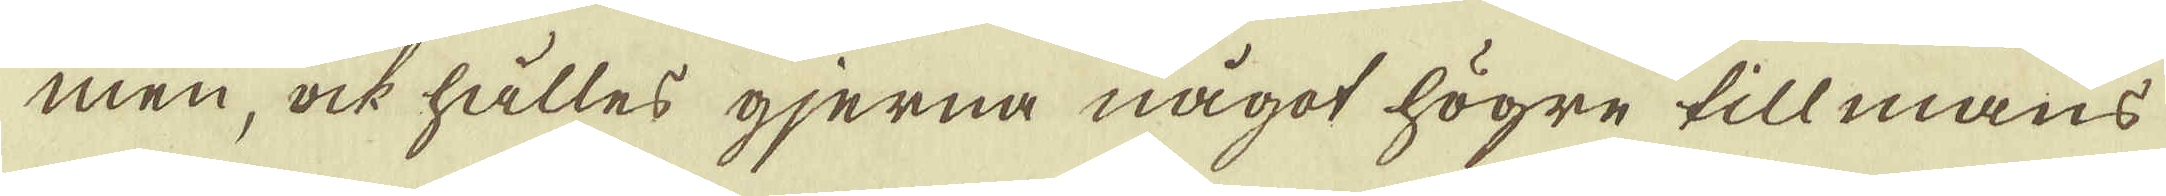men, ock hålles gjerna något högre till mans
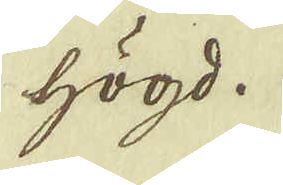högd.
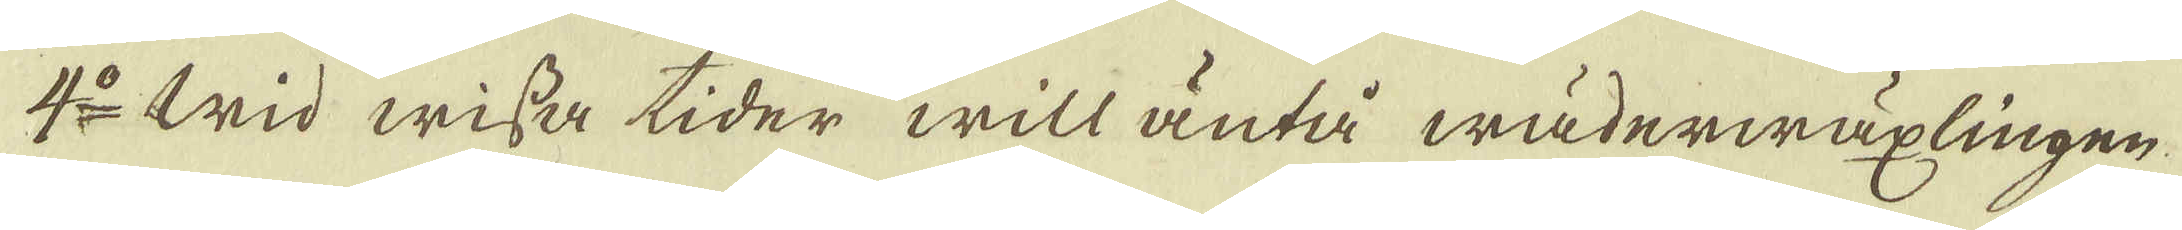4:o Wid wissa tider will äntå wäderwäxlingen
